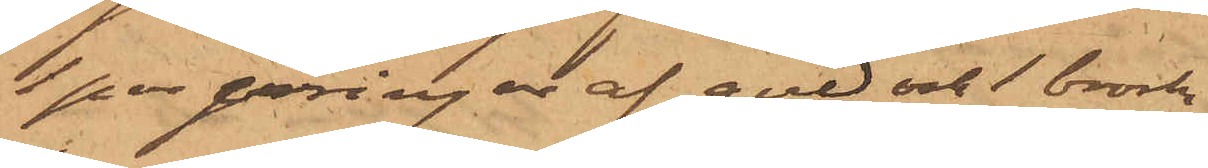1 par örringar af guld och 1 brosch
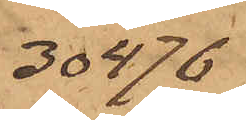30476
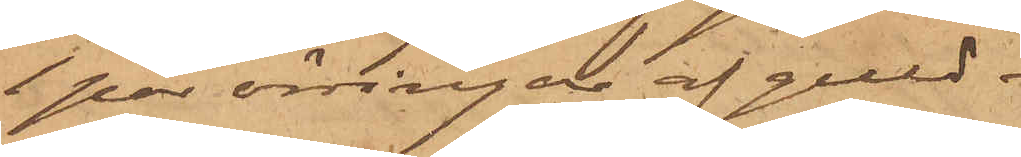1 par örringar af guld
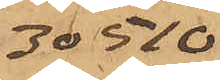30510
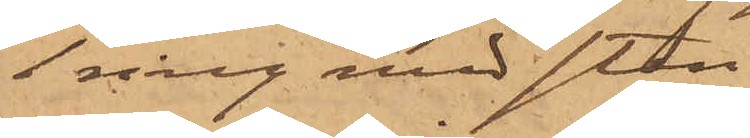1 ring med sten
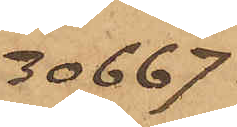30667
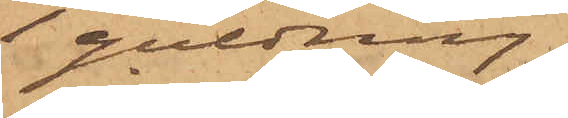1 guldring
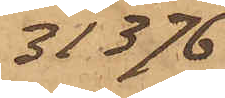31376
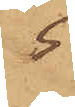5
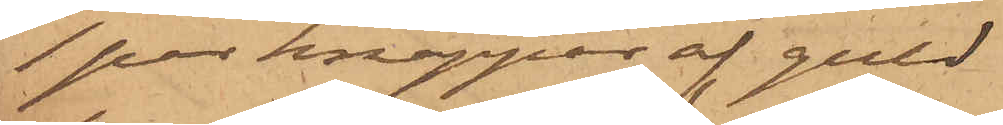1 par knappar af guld
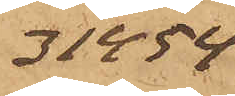31454
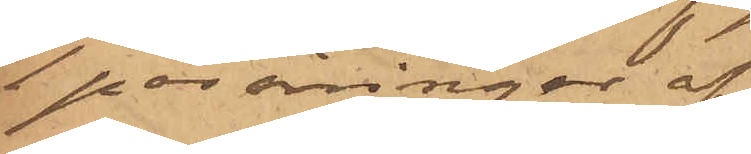1 par örringar af do
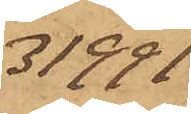31991
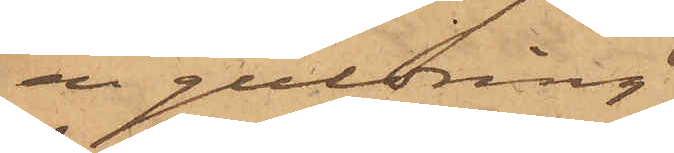en guldring
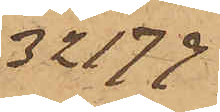32179
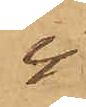4
